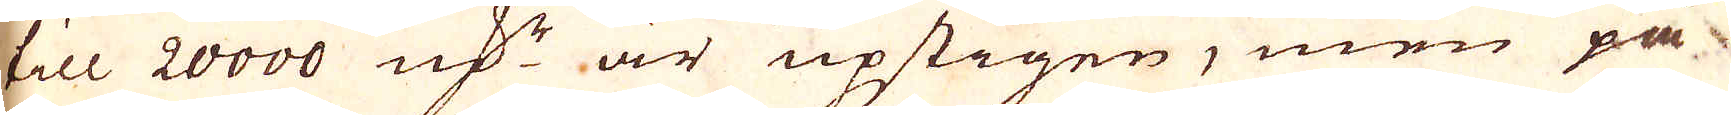till 20000 qv:r är upstigen, men på
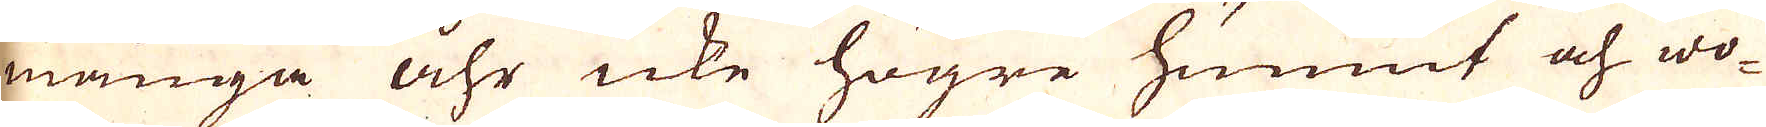många åhr icke högre hunnit och wo-
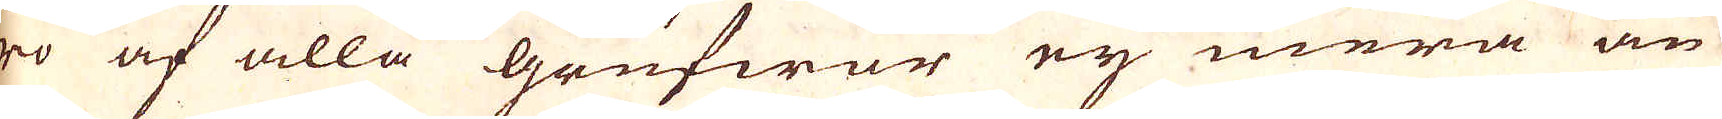ro af alla grufwor ey mera än
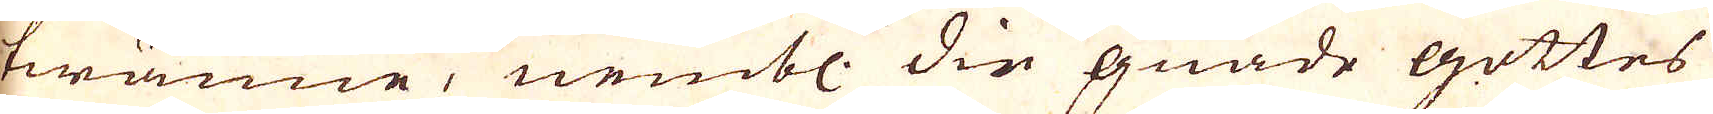twänne, nembl. die gnade gottes
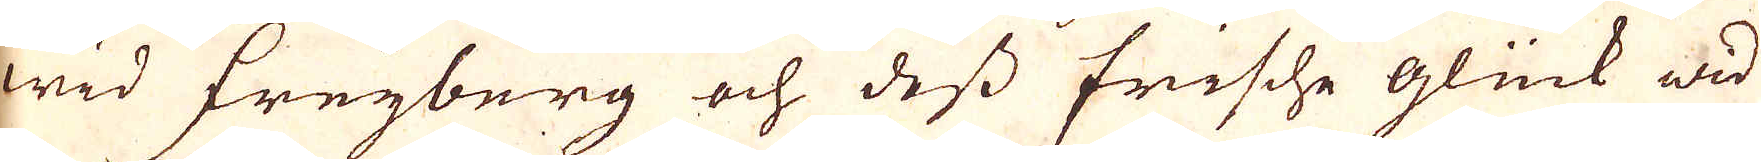wid Freyberg och dass frische glück wid
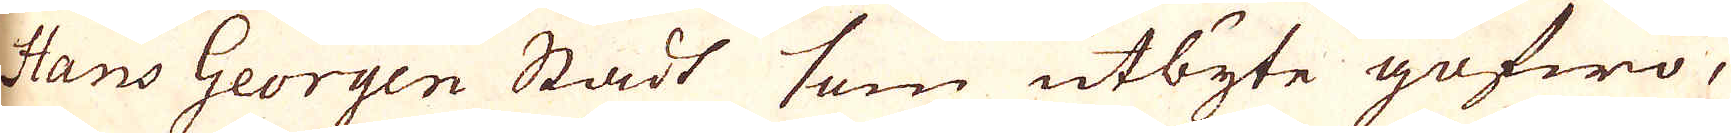Hans Georgen Stadt som utbyte gofwo,
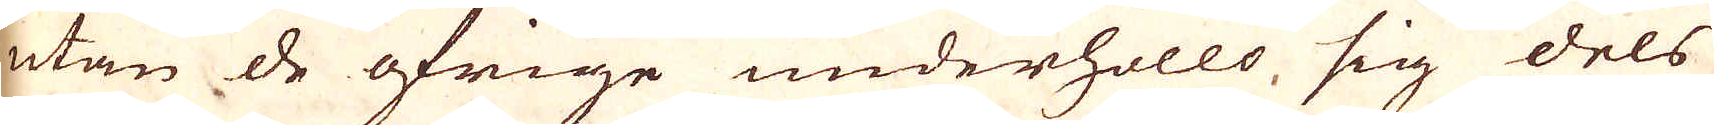utan de öfrige underhöllo, sig dels
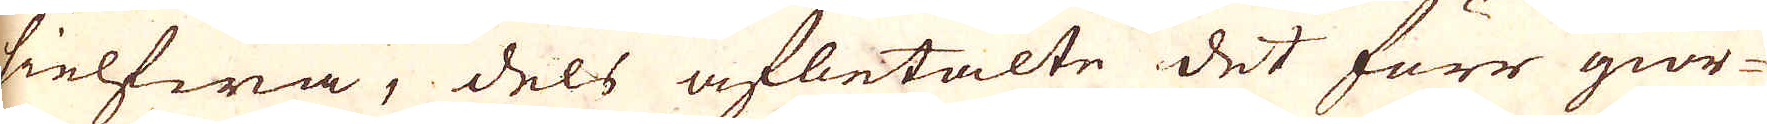sielfwa, dels afbetalte det förr gior-
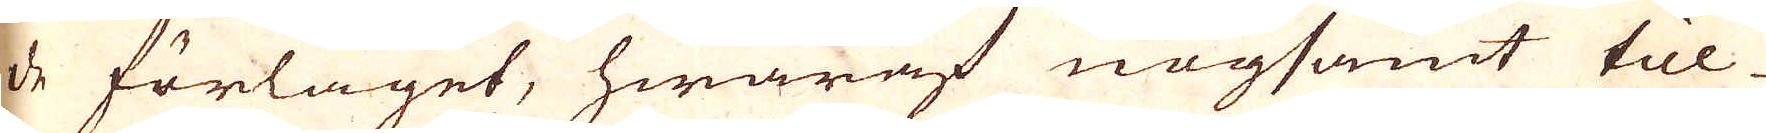de förlaget, hwaraf nogsamt till-
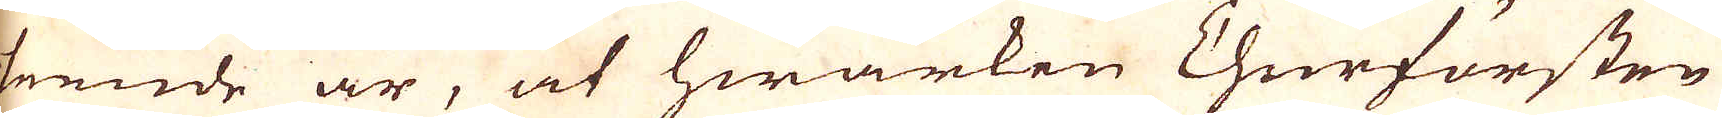seende är, at hwarken Churfursten
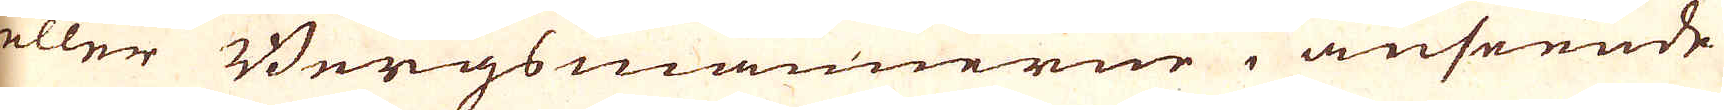eller Bergsmännerne i anseende
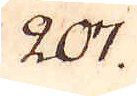207.
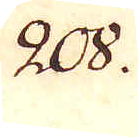208.
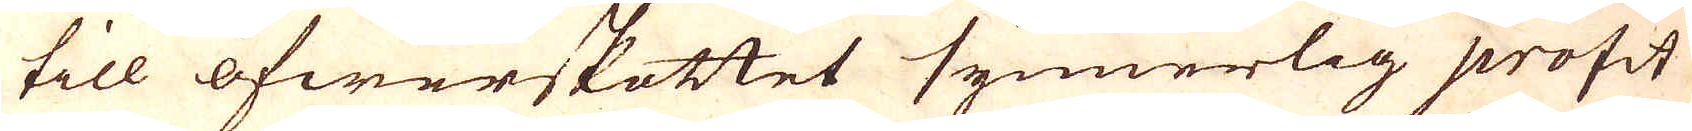till öfwerskottet synnerlig profit
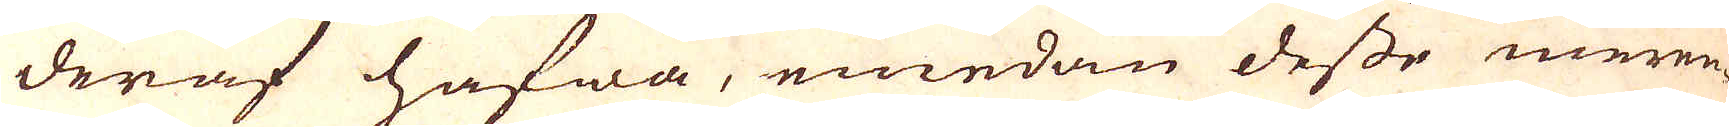deraf hafwa, emedan desse meren-
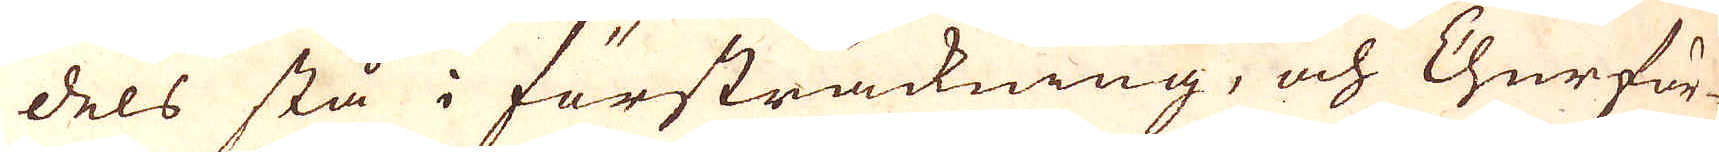dels stå i försträckning, och Churfur-
